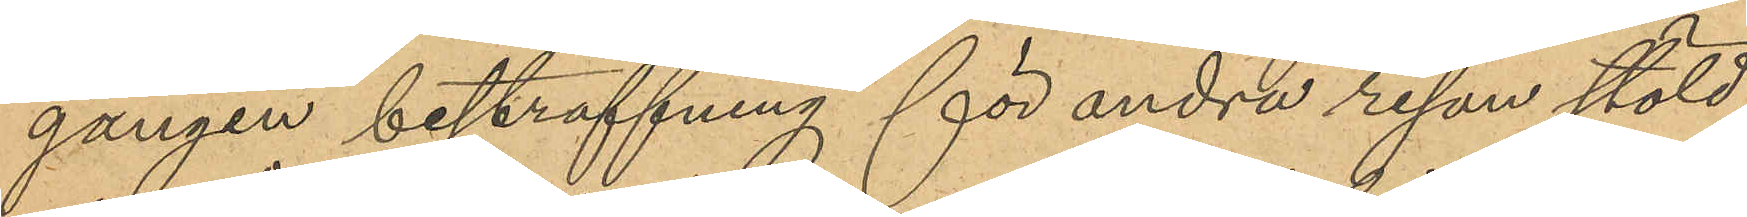gången bestraffning för andra resan stöld,
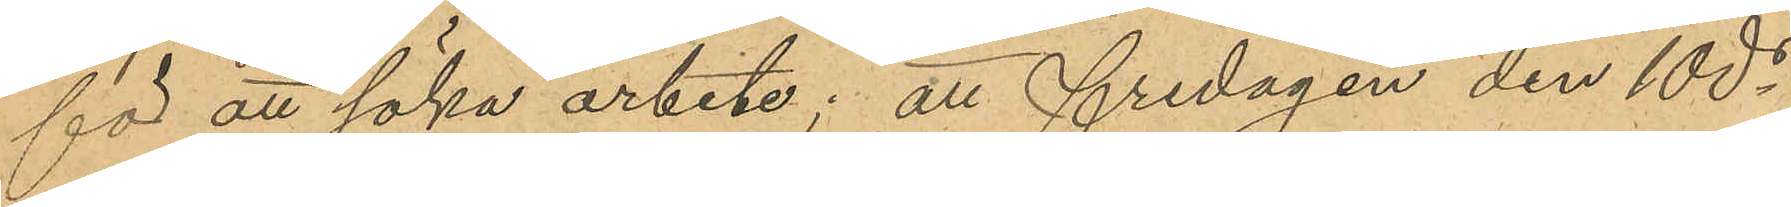för att söka arbete; att fredagen den 10 ds
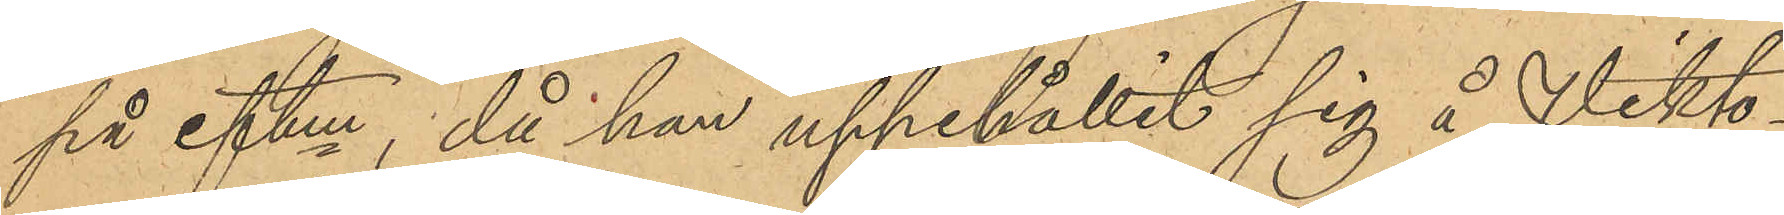på eftm, då han uppehållit sig å Vikto¬
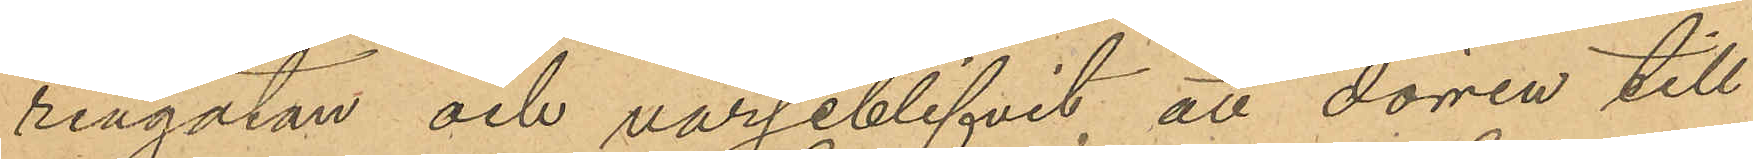riagatan och varseblifvit, att dörren till
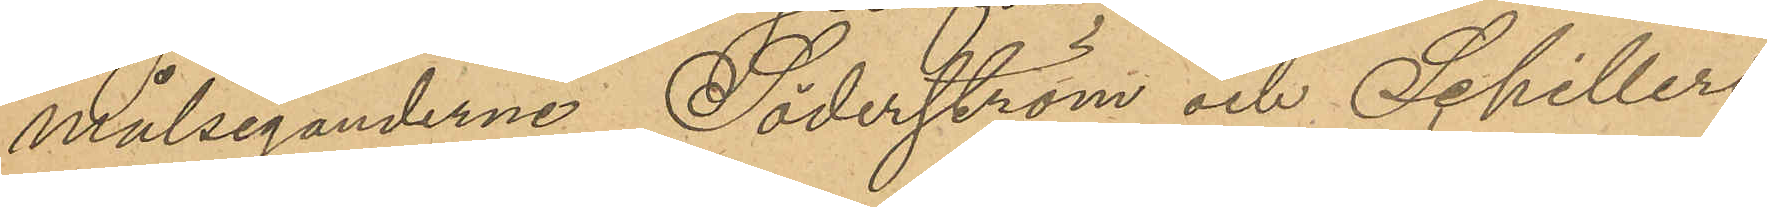målseganderne Söderström och Schillers
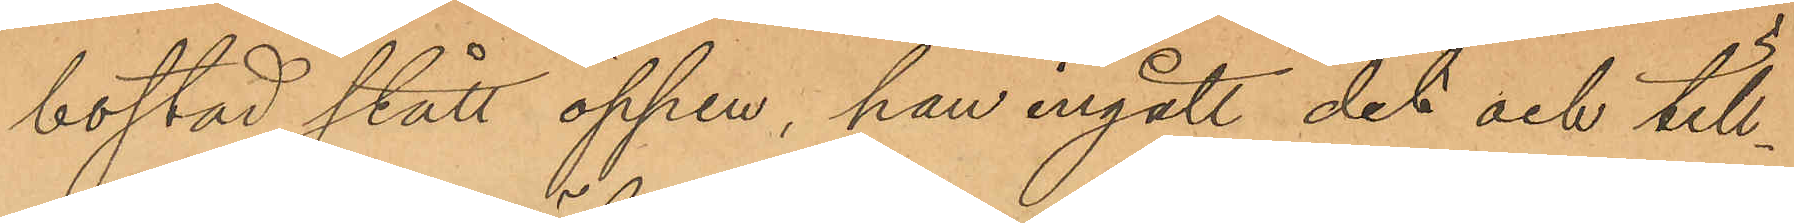bostad stått öppen, han ingått dit och till¬
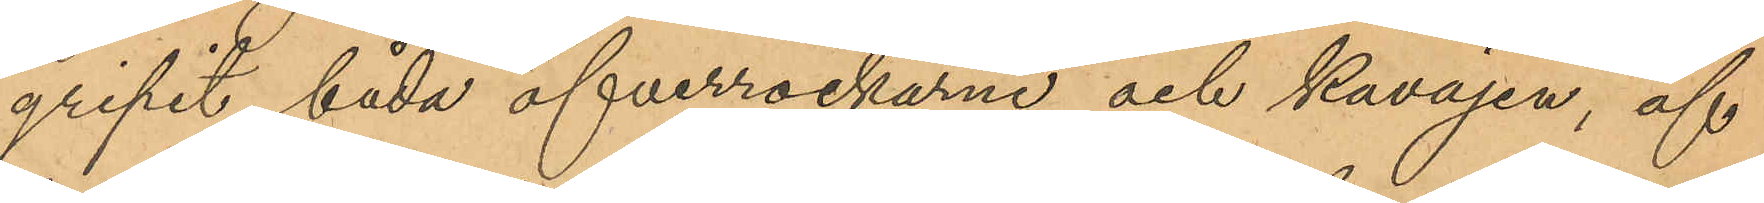gripit båda öfverrockarne och kavajen, af
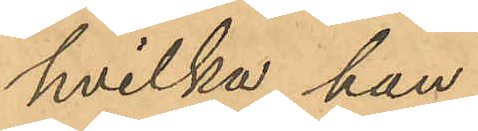hvilka han
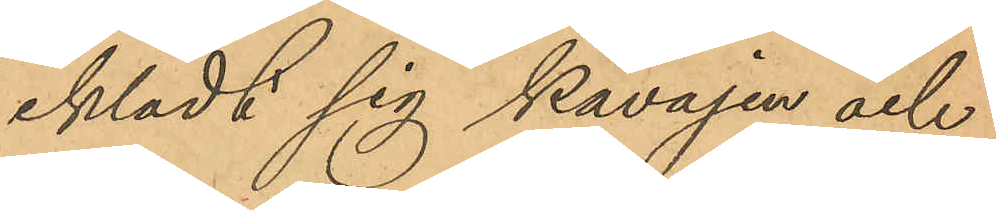iklädt sig kavajen och
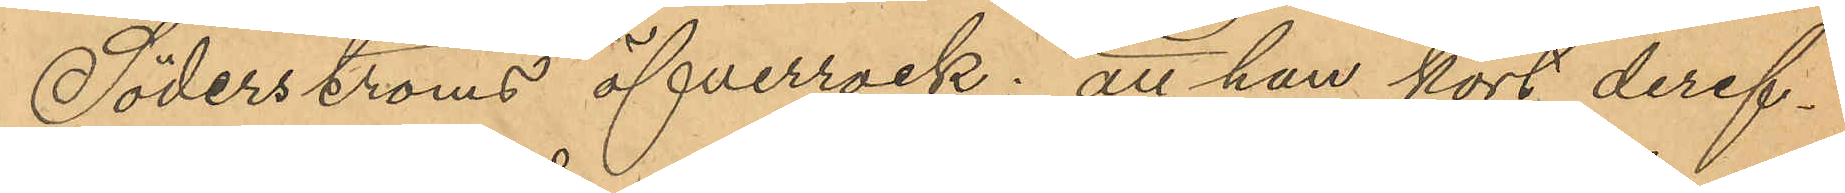Söderströms öfverrock; att han kort deref¬
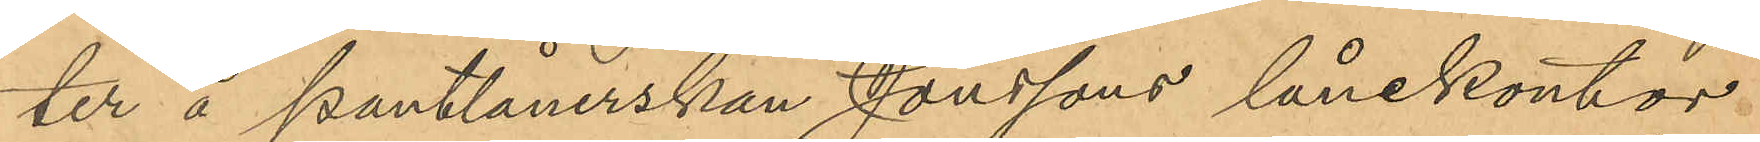ter å pantlånerskan Jonssons lånekontor.
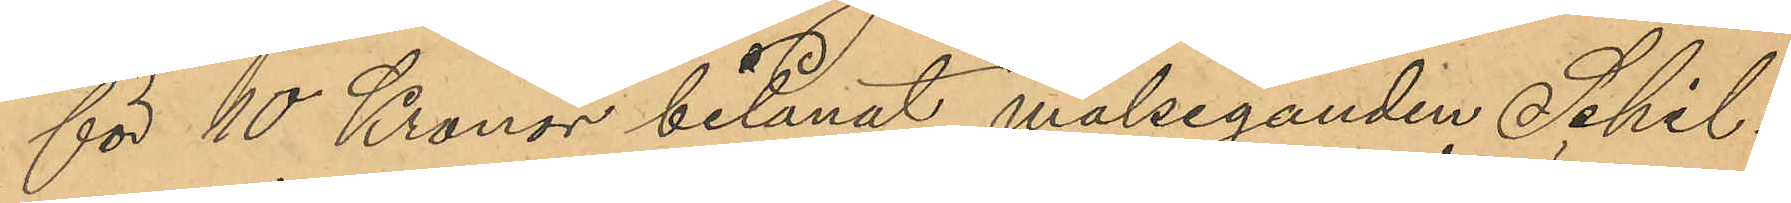för 10 Kronor belånat målseganden Schil¬
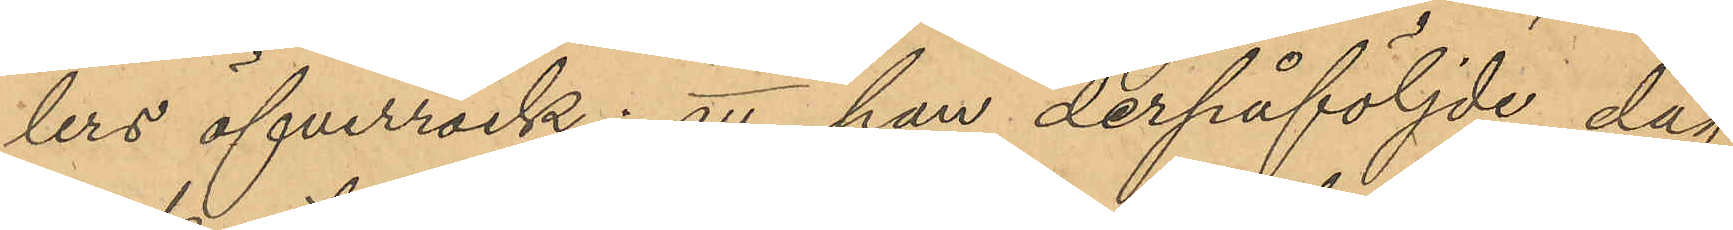lers öfverrock; att han derpåföljde dag
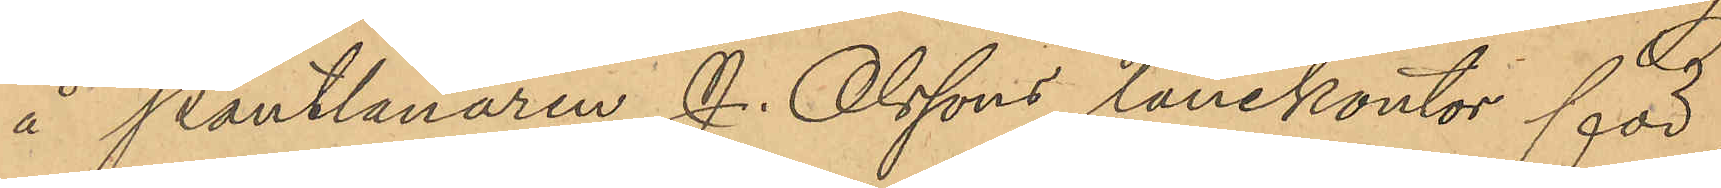å Pantlånaren J. Olssons lånekontor för
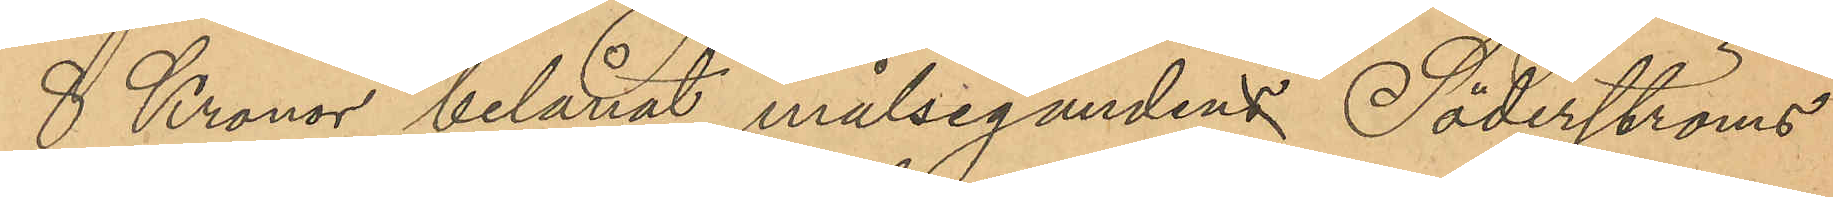8 Kronor belånat målseganden Söderströms
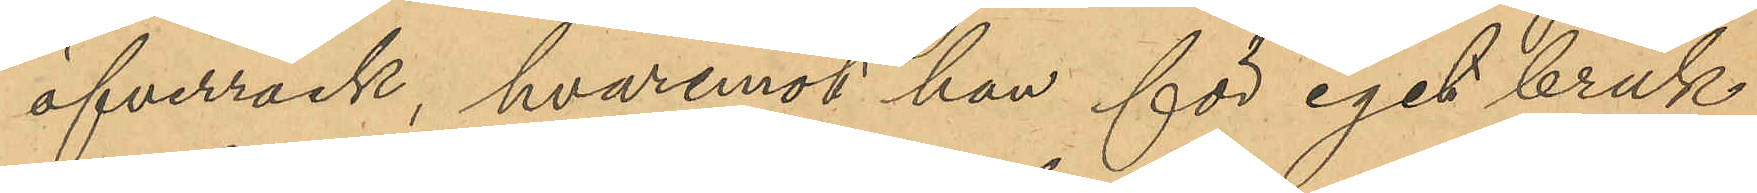öfverrock, hvaremot han för eget bruk
